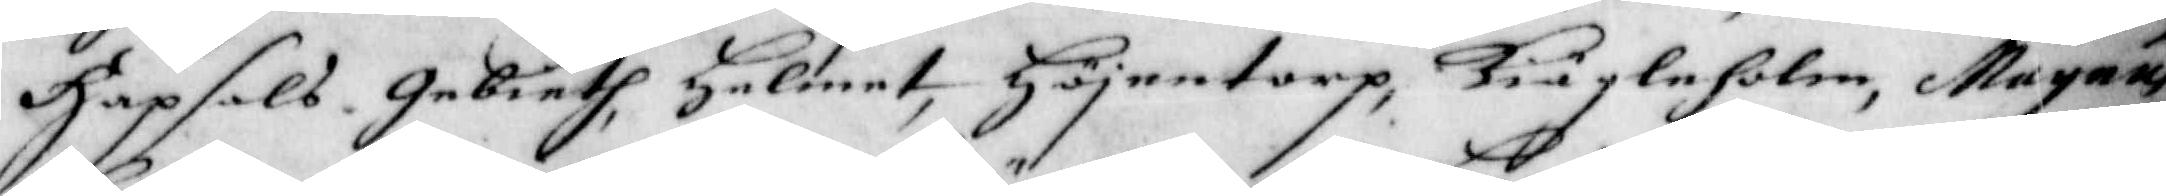Hapsals gebieth, Helmet, Höjentorp, Kiägleholm, Magnus
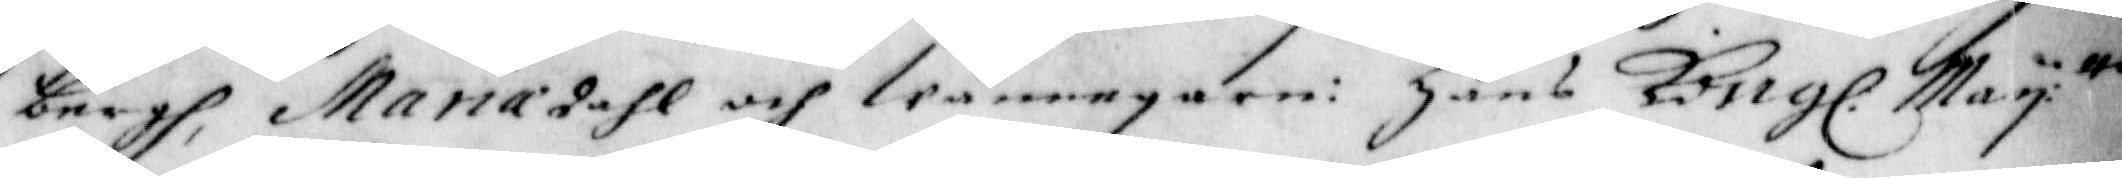bergh, Mariedahl och Wännegarn: Hans Kong. Maij:tts
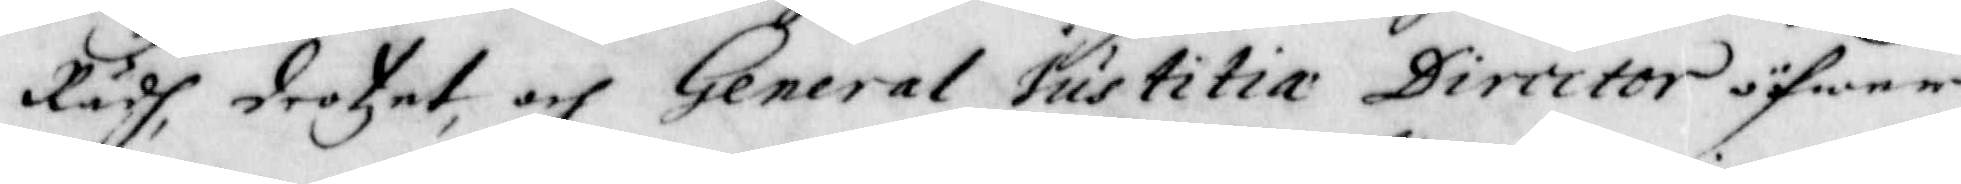Rådh, Drotzet, och General Justitiae Director öfwer
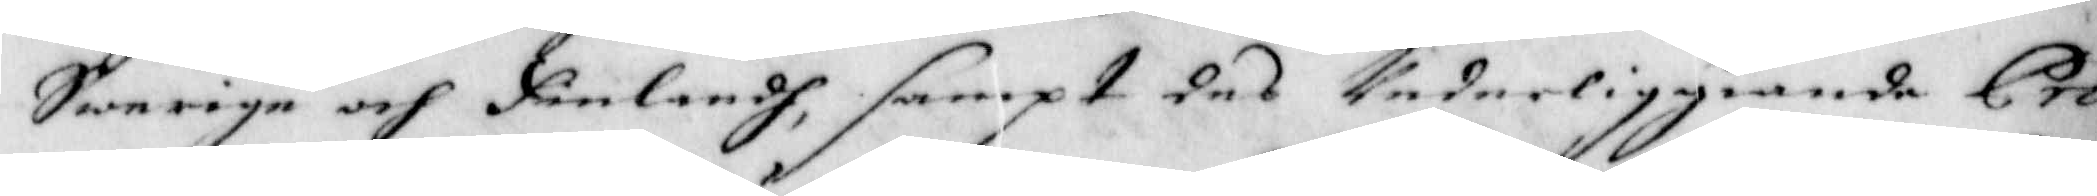Swerige och Finlandh, sampt des Underliggiande Pro¬
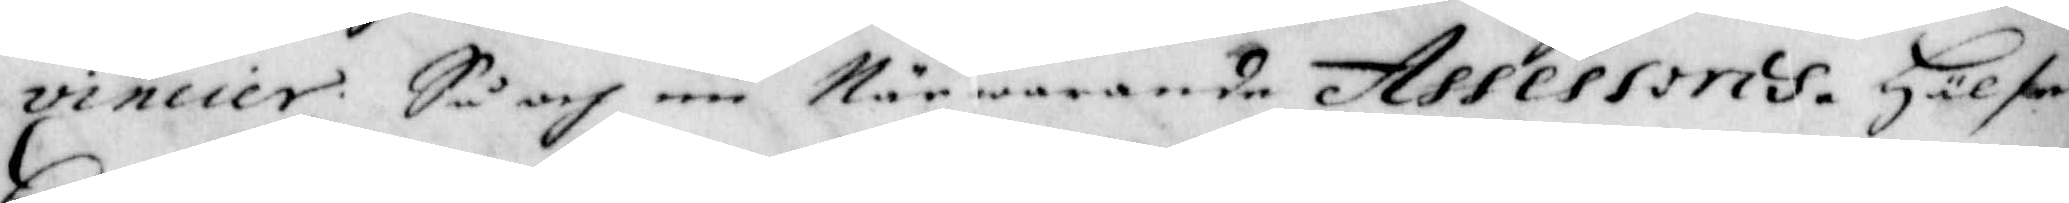vincier, Så och nu Närwarande Assessoris. Hälse
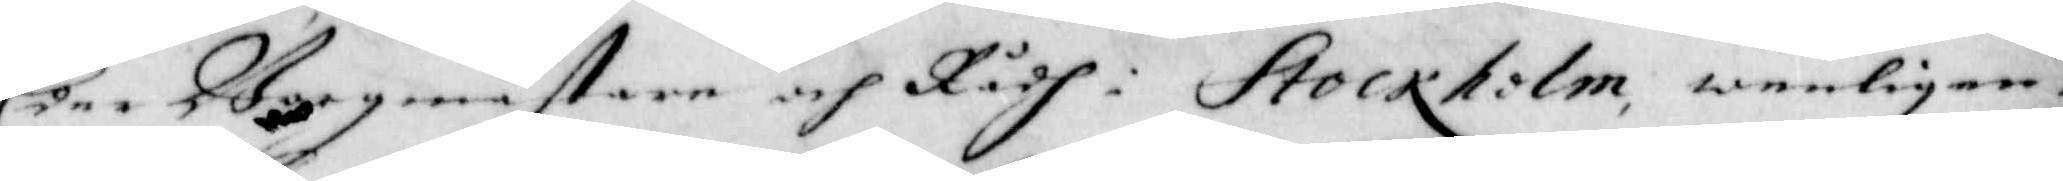Eder Borgmästare och Rådh i Stockholm, wenligen:
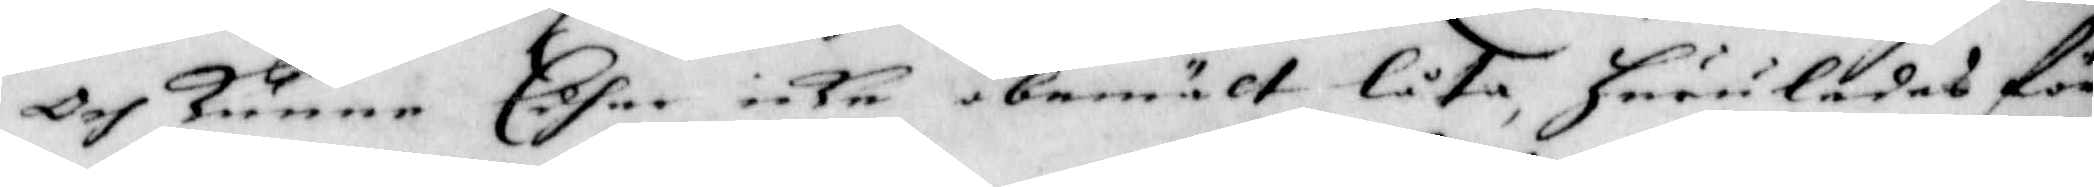Och Kunna Edher icke obemält låta, huruledes för
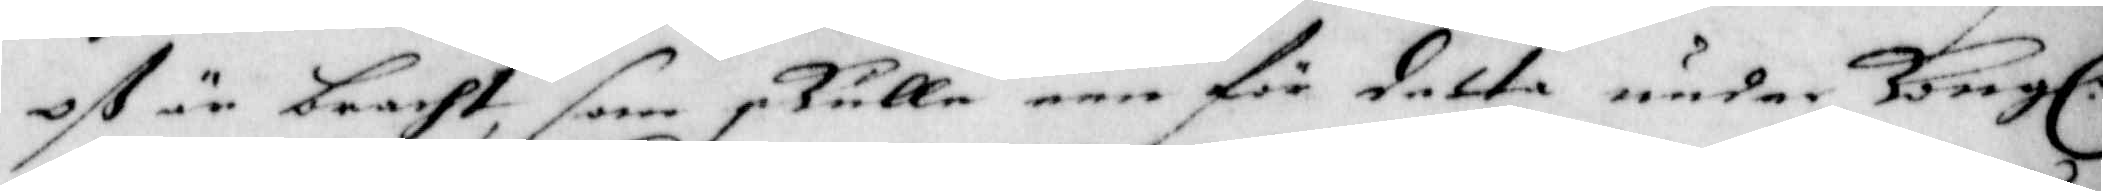oß är bracht, som skulle een för detta under Kong:
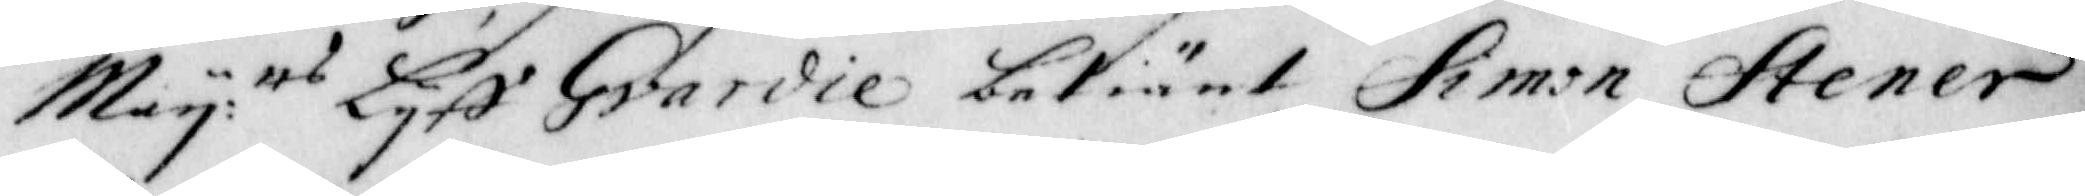Maij:tts Lijff Gvardie betiänt, Simon Stener
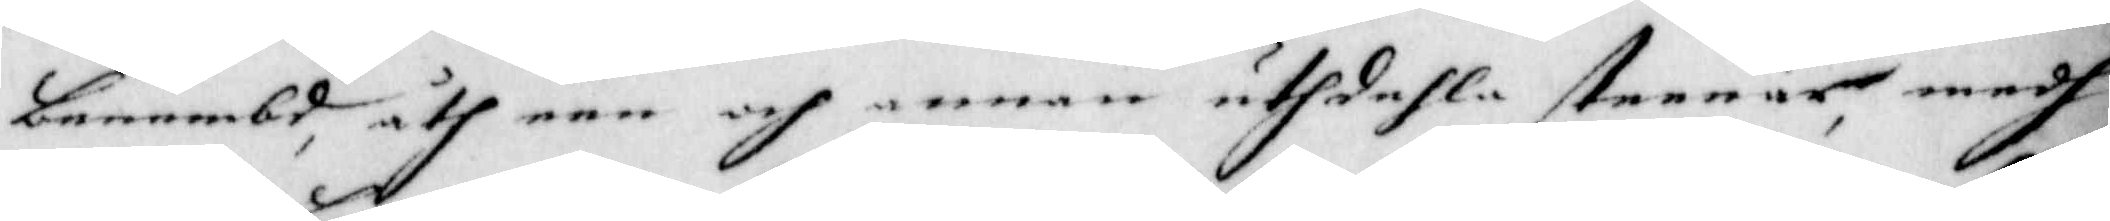benembd, åth een och annan uthdehla steenar, medh
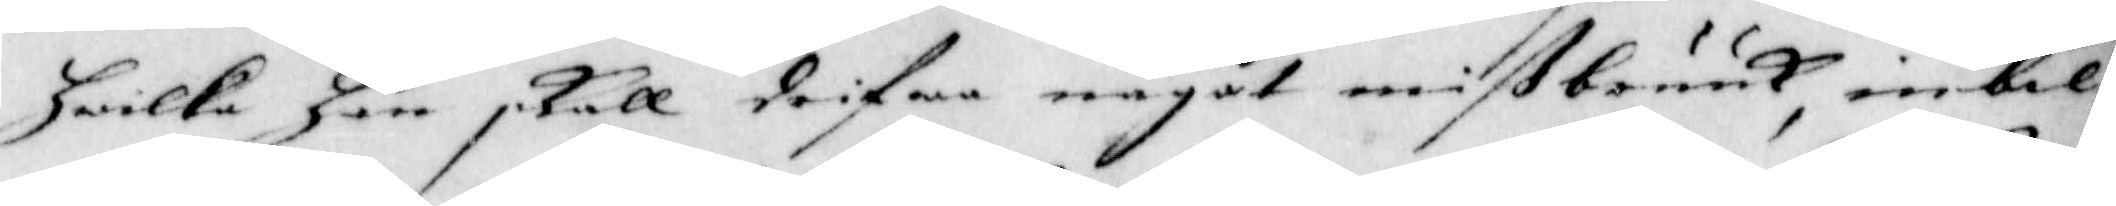hwilka han skall drifwa något mißbruuk, inbil¬
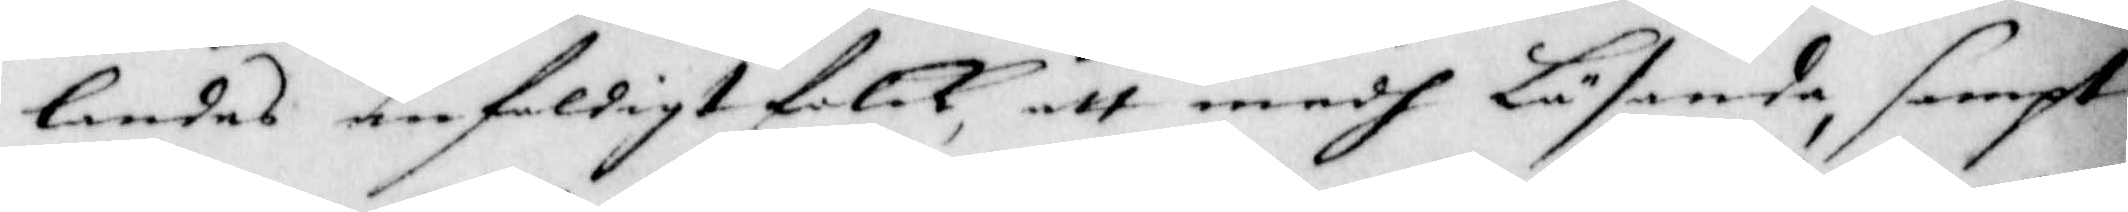landes enfaldigt folck, att medh Läsande, sampt
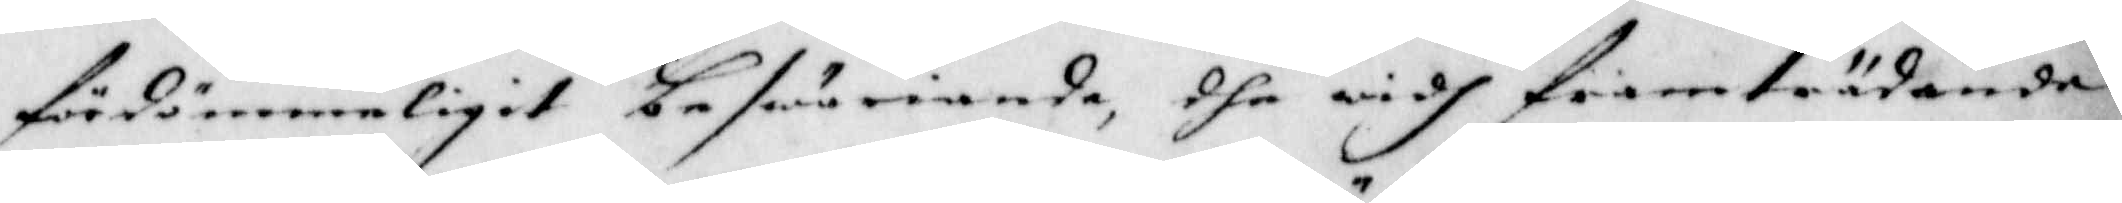fördömmeligit beswäriande, dhe widh framträdande
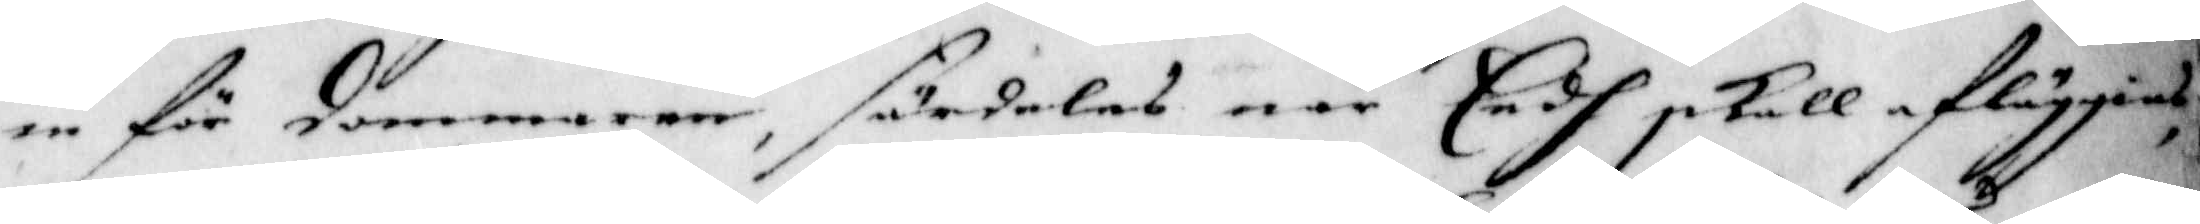in för Dommaren, särdeles när Eedh skall afläggias,
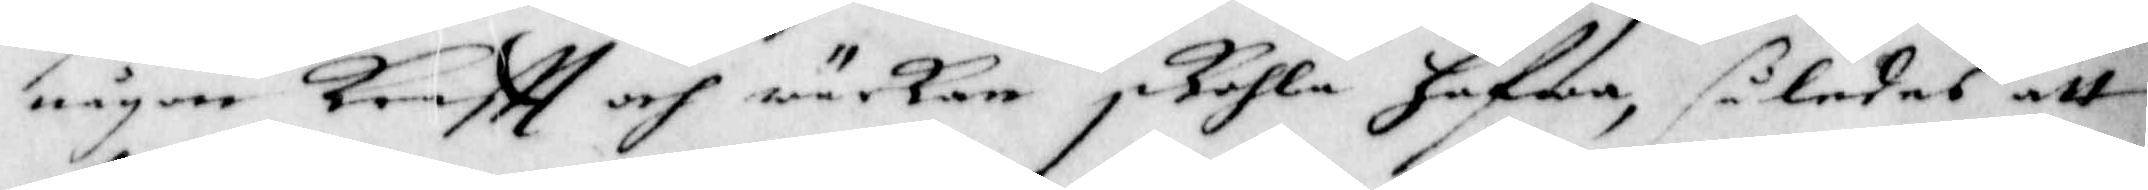någon Krafft och wärkan skohla hafwa, således att
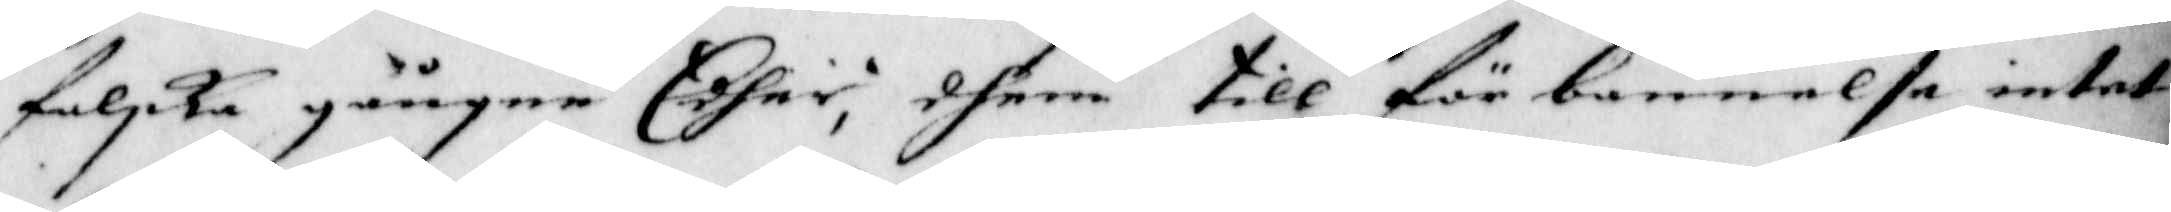falska gångne Edher, dhem till förbannelse intet
